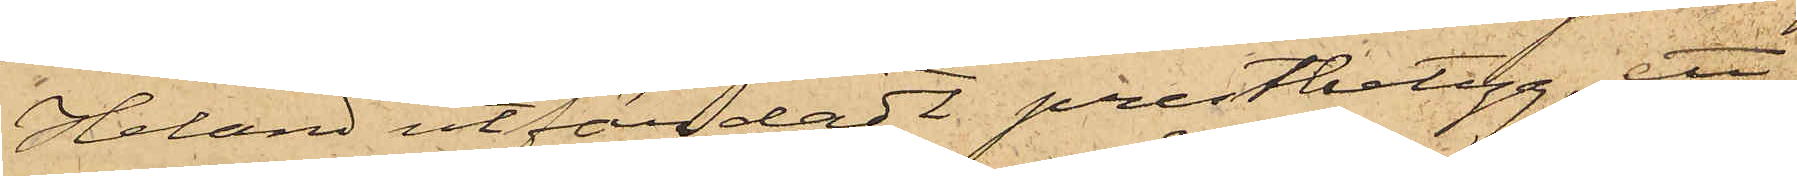Heland utfärdadt prestbetyg; ett
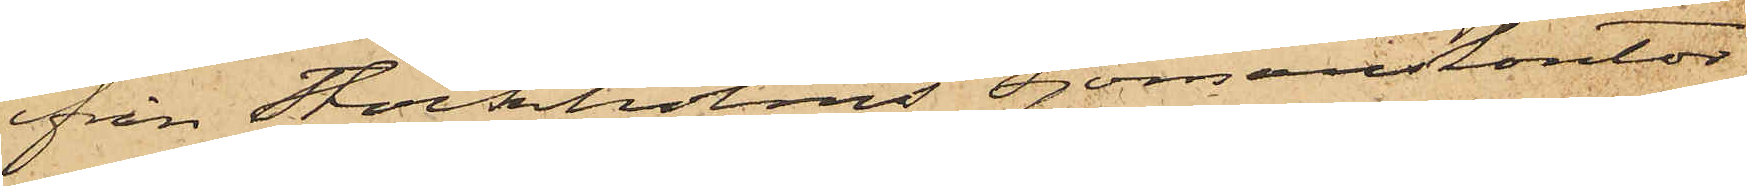från Stockholms sjömanskontor
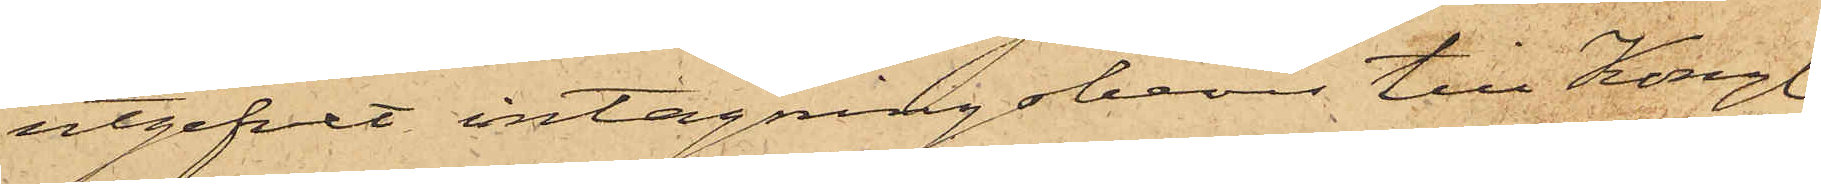utgifvet intagningsbevis till Kongl.
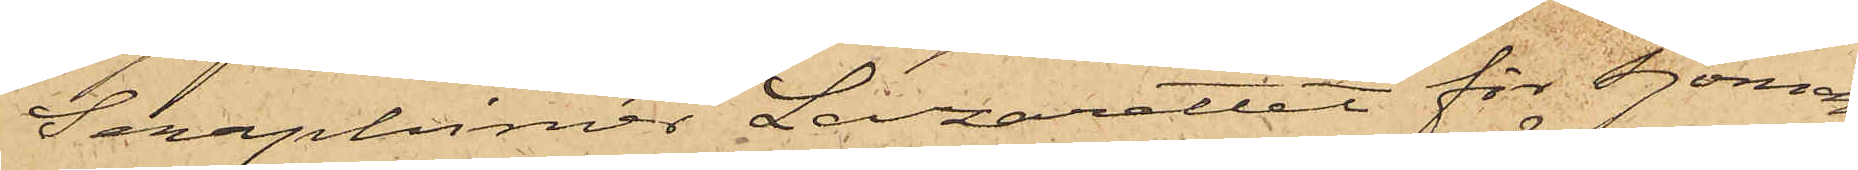Seraphimer Lazarettet för Sjöman¬
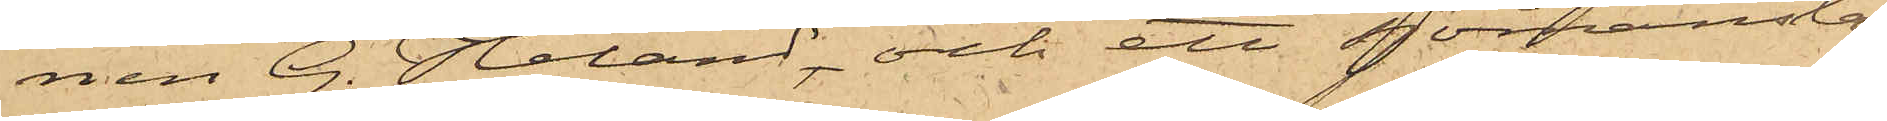nen G. Heland och ett sjömansbe¬
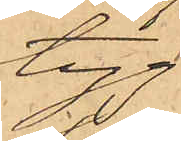tyg
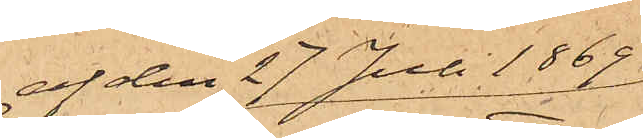af den 27 Juli 1869
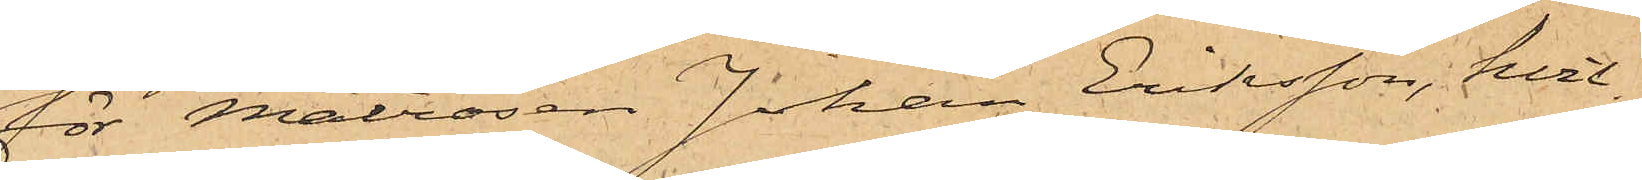för Matrosen Johan Eriksson, hvil¬
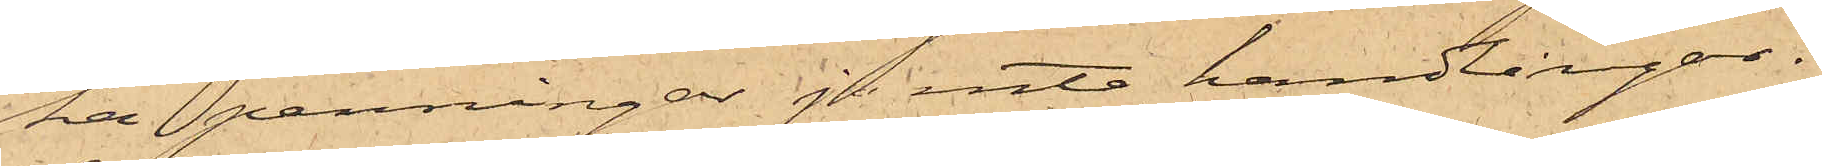ka penningar jemte handlingar i
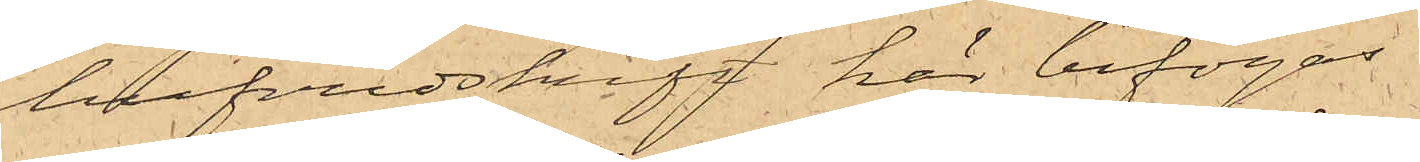hufvudskrift här bifogas.
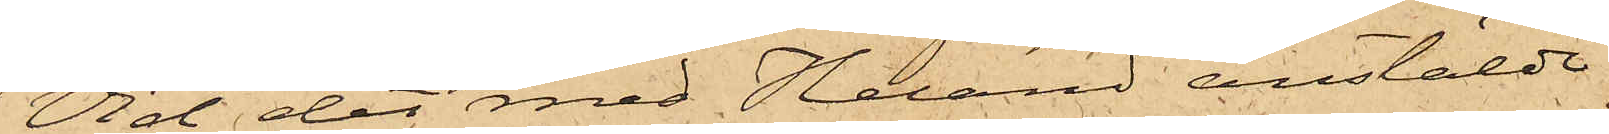Vid det med Heland anstäldt
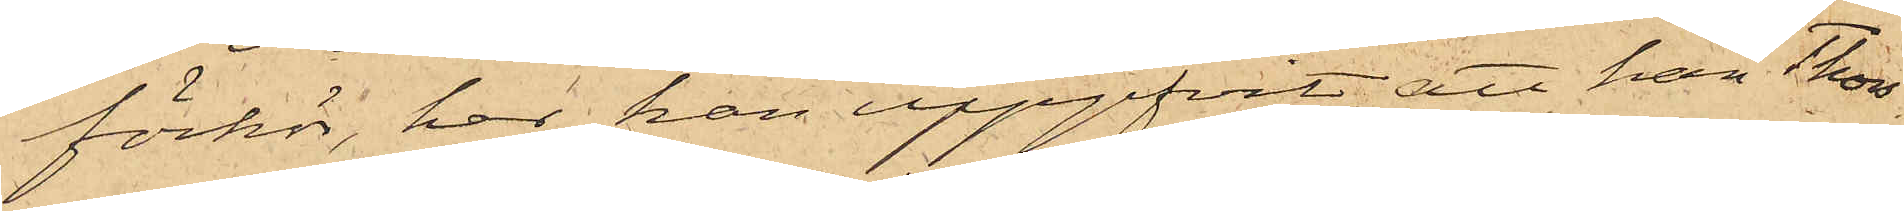förhör, har han uppgifvit, att han Thors¬
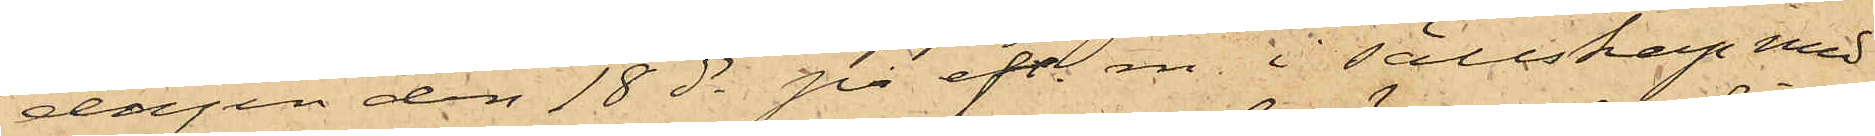dagen den 18 ds på eft. m. i sällskap med
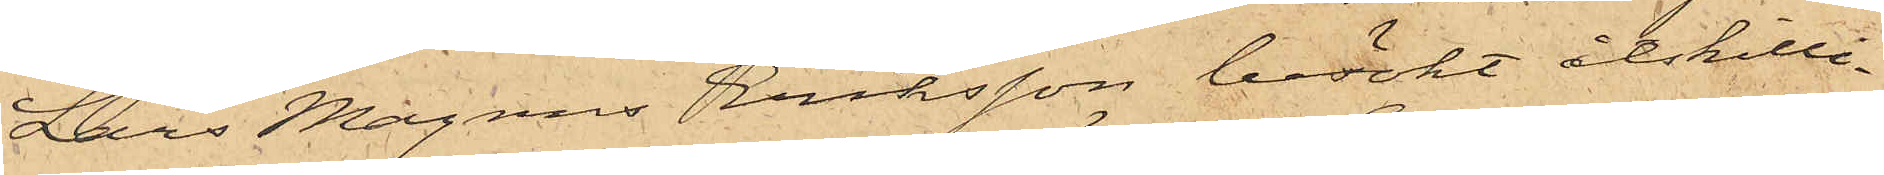Lars Magnus Eriksson besökt åtskilli¬
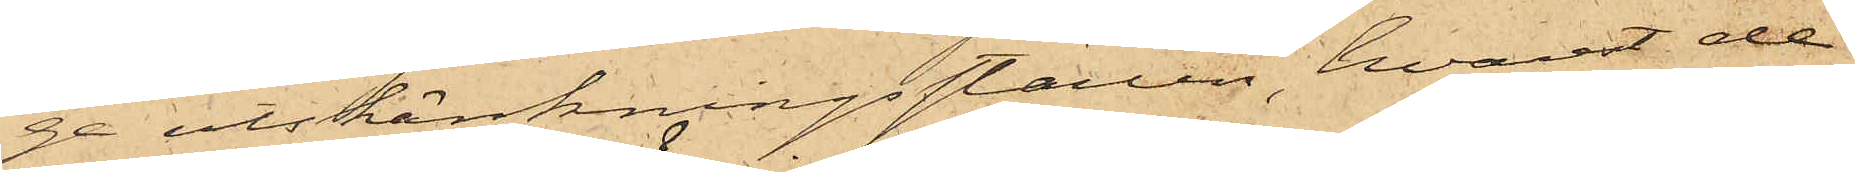ge utskänkningsställen, hvarest de
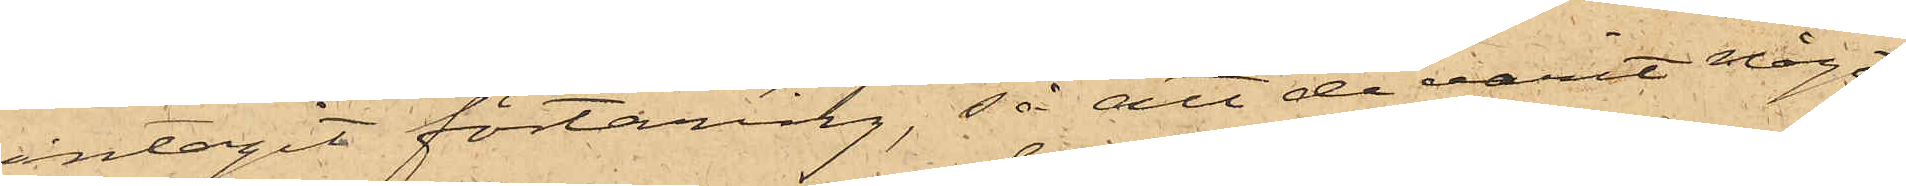intagit förtäring, så att de varit något
